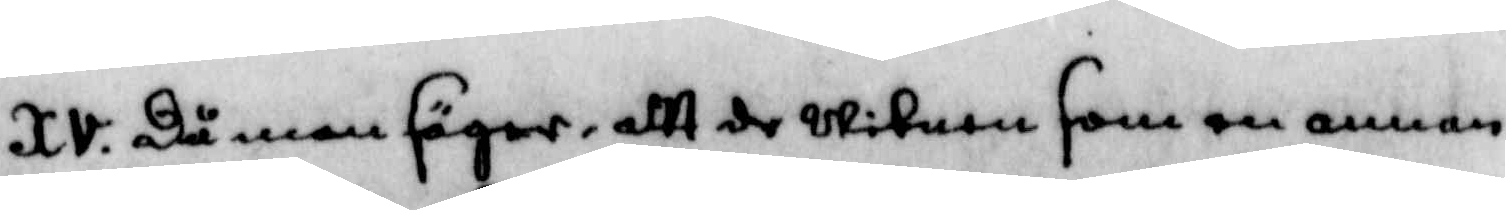XV. Då man säger, att de Witnen som en annan
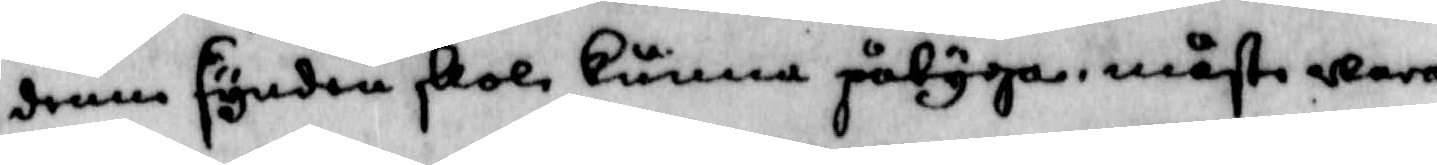denne synden skole kunna påtyga, måste wara
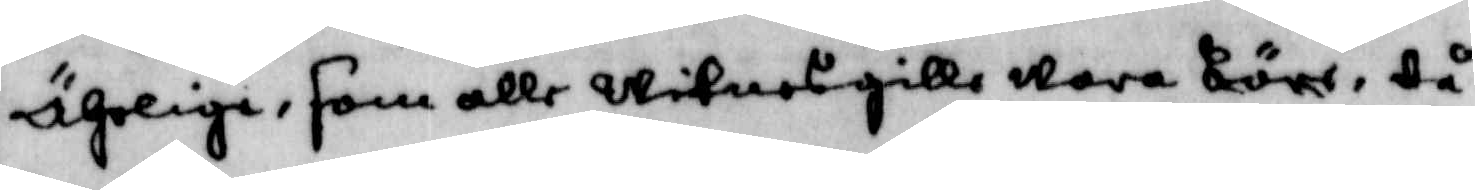Ährlige, som alle witnesgille wara böre, då
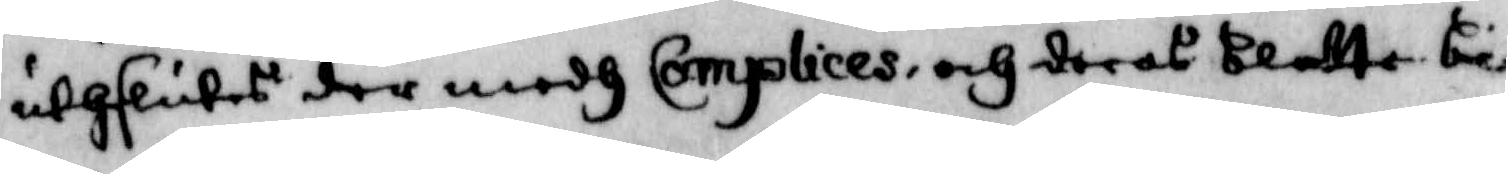uthslutes der medh Complices, och deras blotta be¬
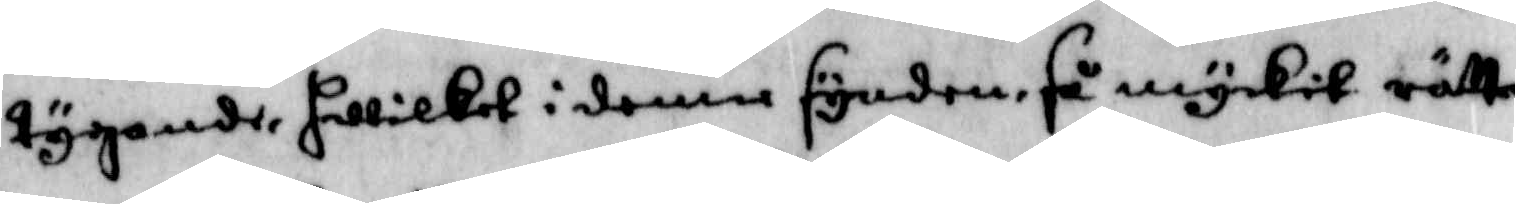tygande, hwilket i denne synden, så myckit rätta¬
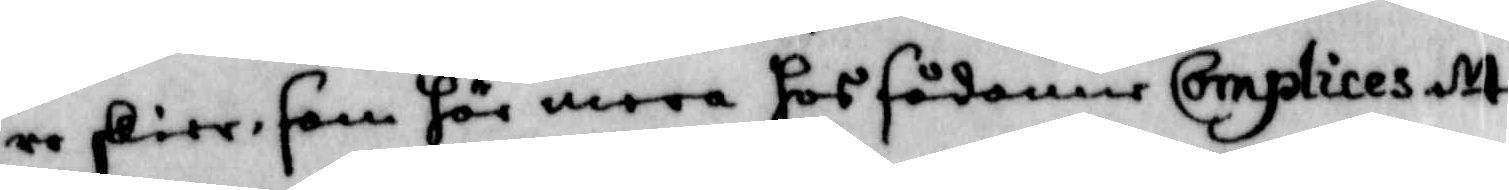re skier, som för mera hos sådanne Complices ett
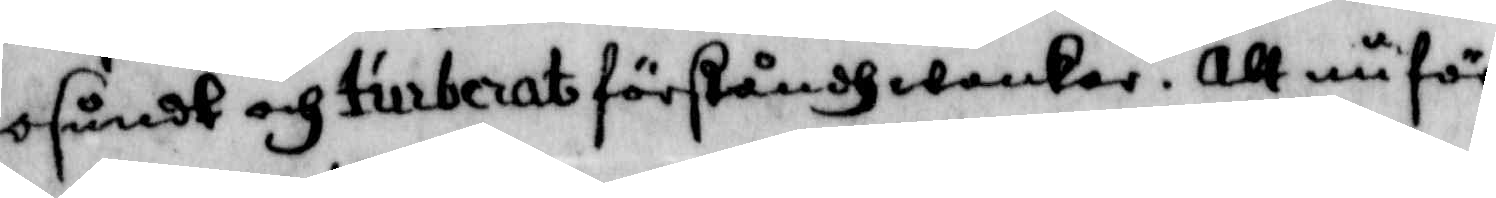osundt och tiuberat förståndh wankar, Att nu för¬
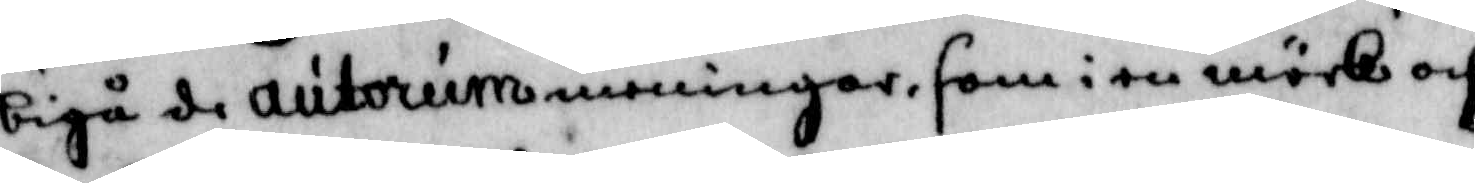bigå de autorum meningar, som i en mörk och
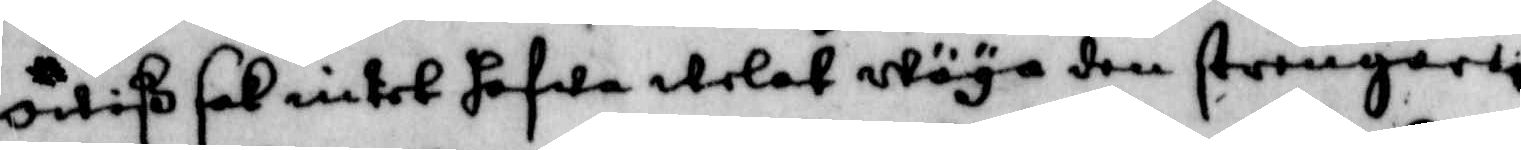owiß sak intet hafwa welat wäya den strengerli
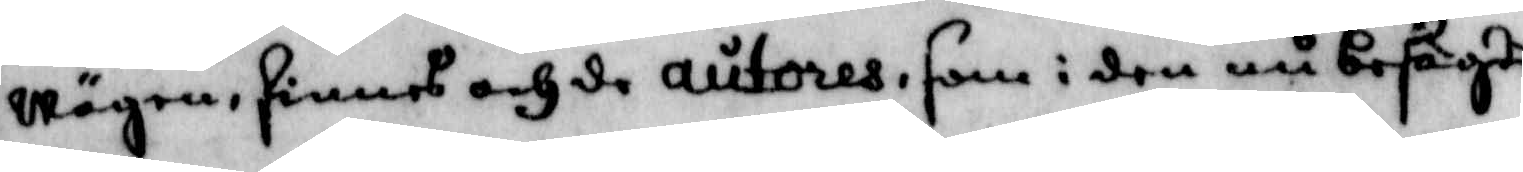wägen, finnes och de autores, som i den nu besagde
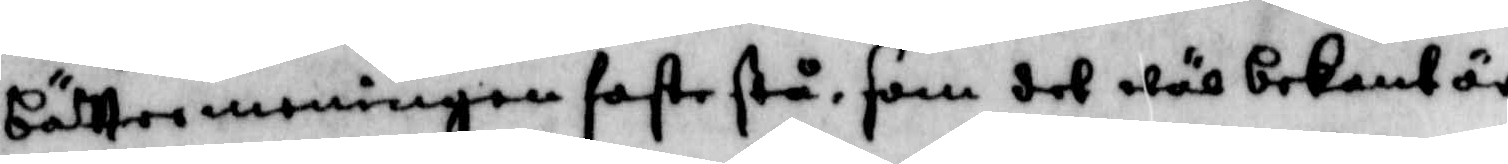bättre meningen faste stå, som det wäl bekant är,
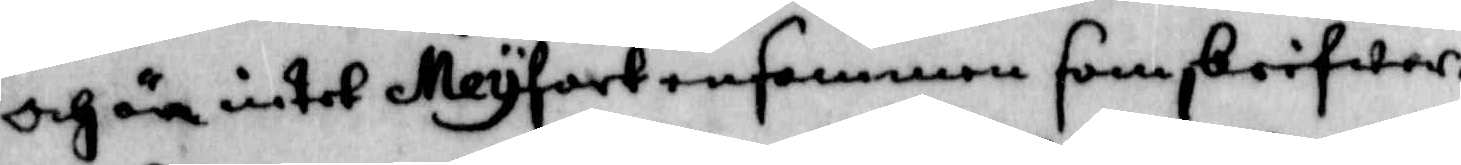och är intet Meyfast ensammen som skrifwer.
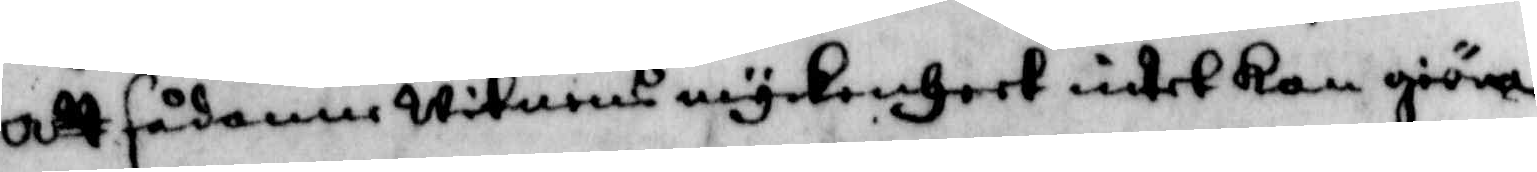Att sådant witnens myckenheet intet kan giöra
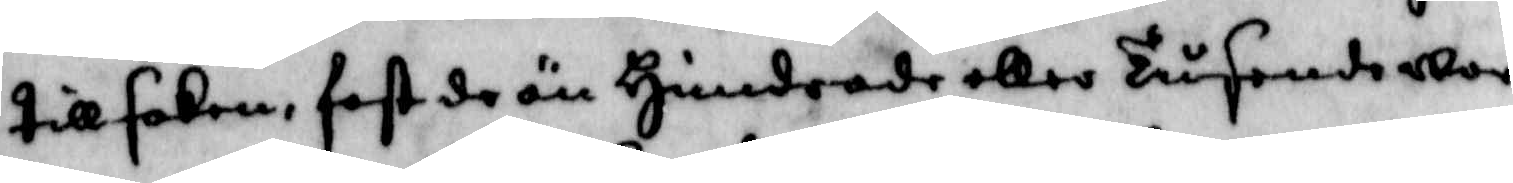till saken, fast de än Hundrade eller Tusende war
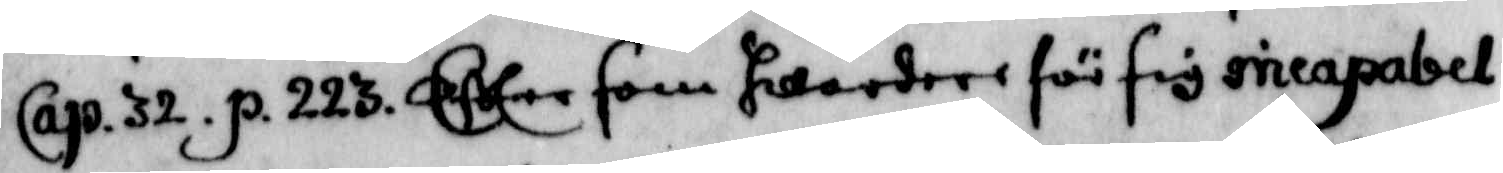Cap. 32. p. 223. Efter som hwardere för sig ineapabel
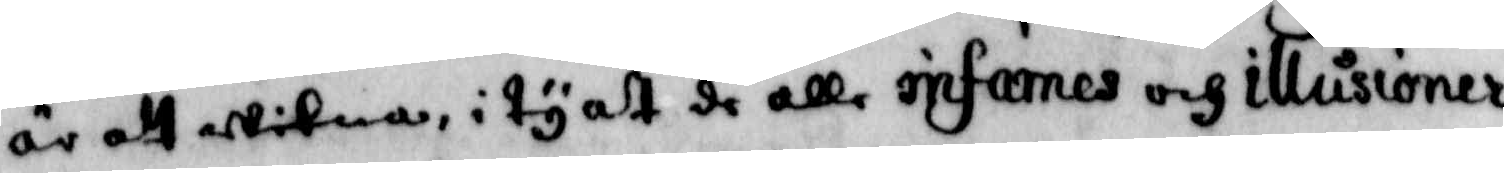är att witna, i ty att de alle infarnes och illusioner
